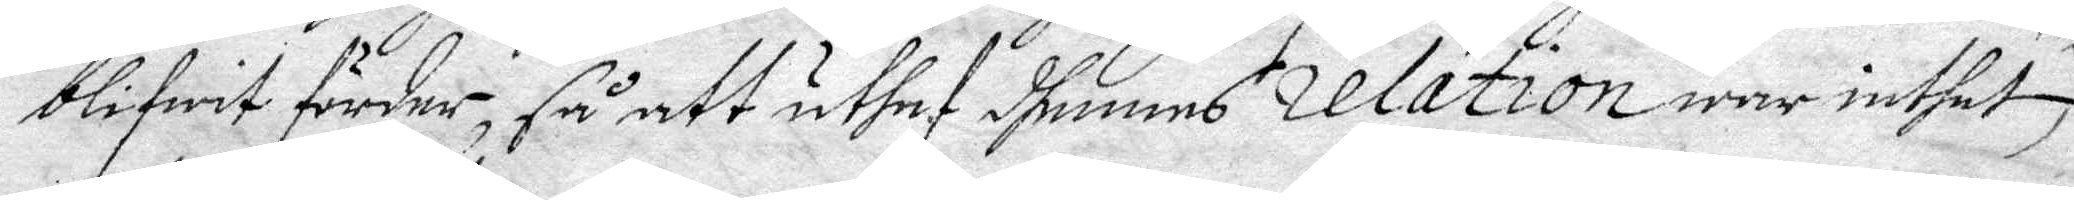blitwit förder, så att uthaf dhennes relation war inthet
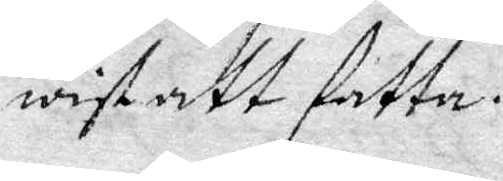wist att fatta.
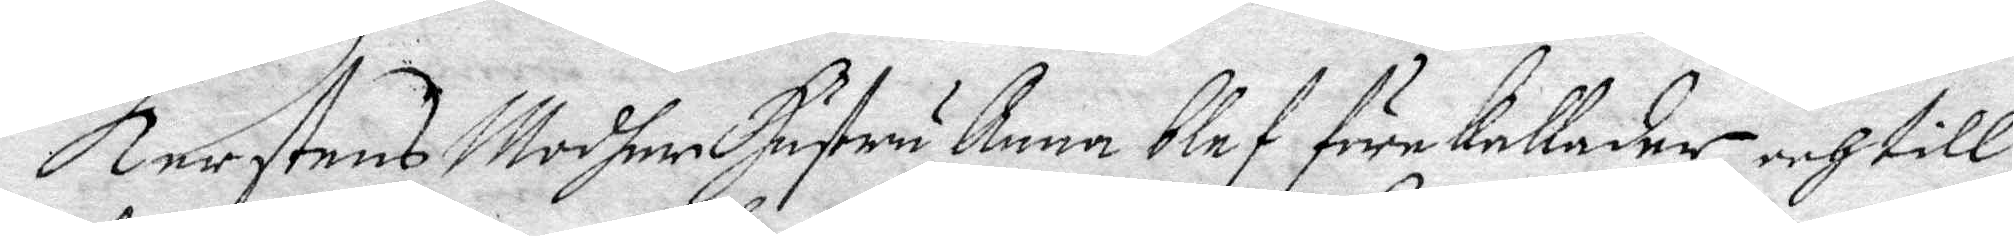Kerstens Moder Hustru Anna blef förekallader och till¬
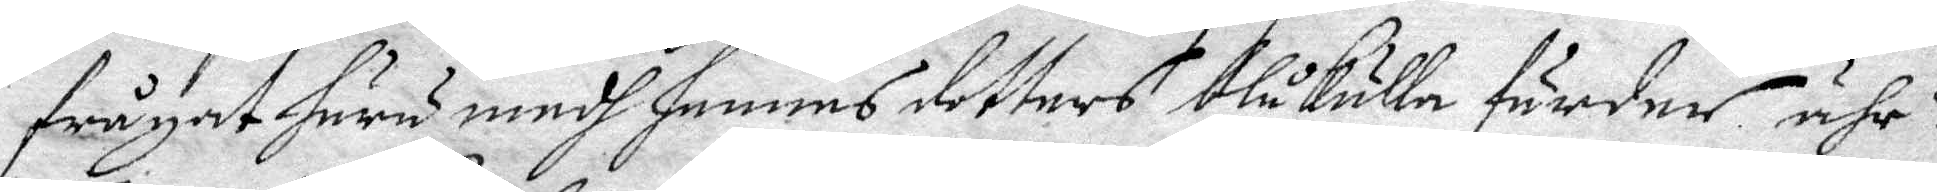frågat huru medh hennes dotters blåkulla färder ähr?
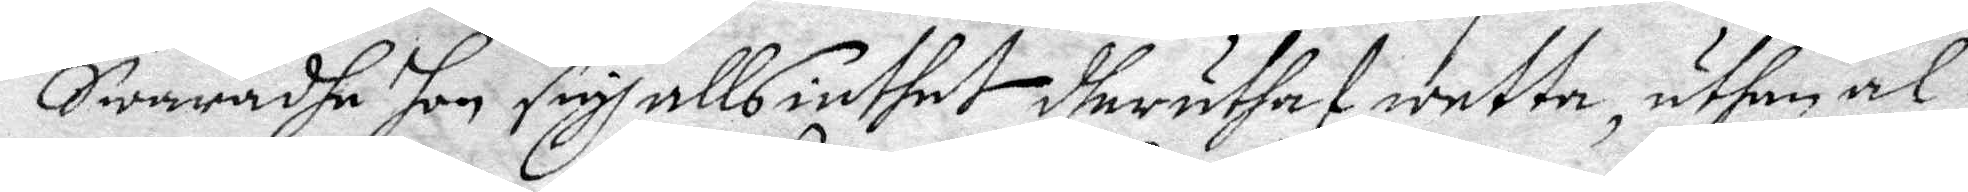Swaradhe hon sigh alls inthet dheruthaf wetta, uthan al¬
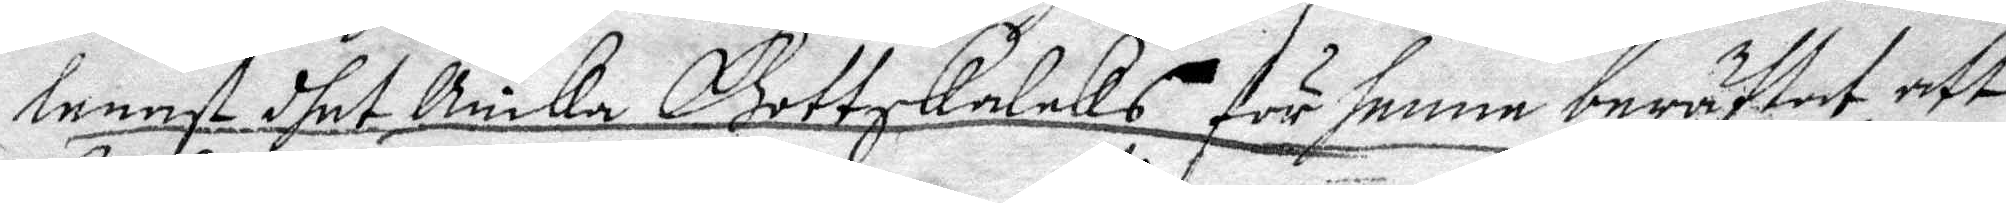lenast dhet Bricka Gottskalcks för henne berättat att
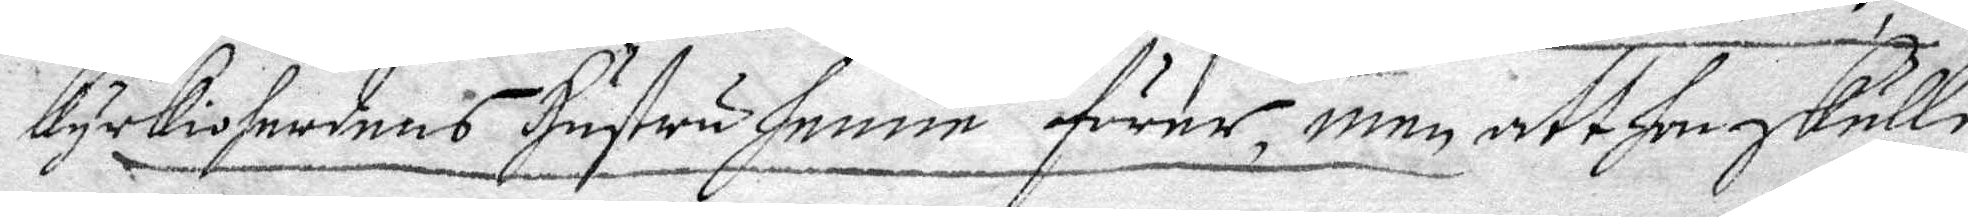kyrkioherdens Hustru henne förer, men att hon skulle
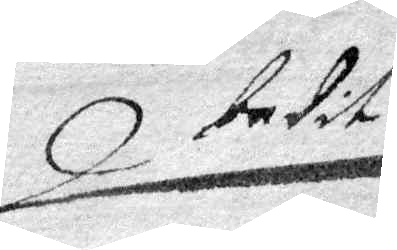bedit
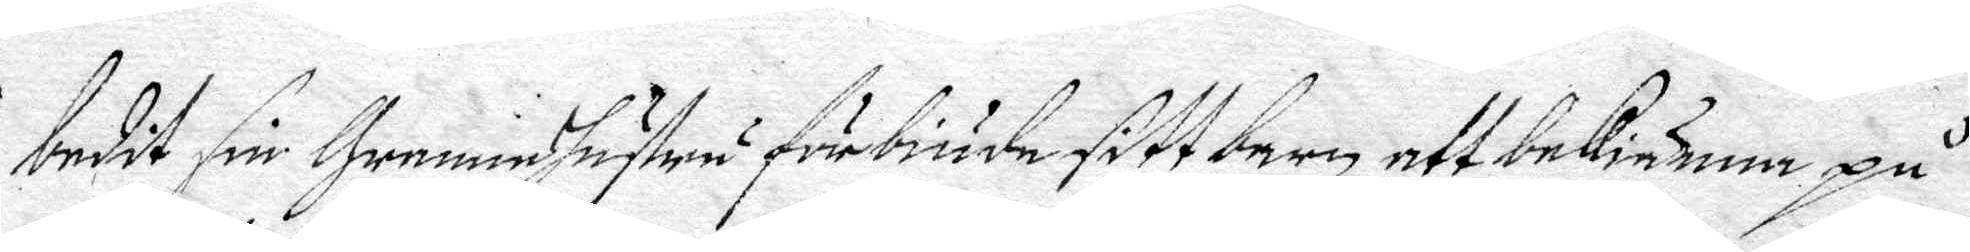bedit sin Grenneshustru förbiuda sitt barn att bekiänna på
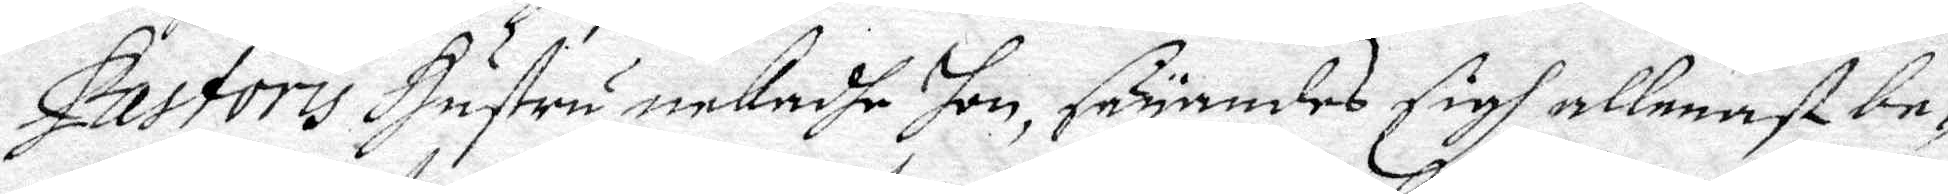Pastoris Hustru nekadhe hon, säyandes sigh allenast be¬
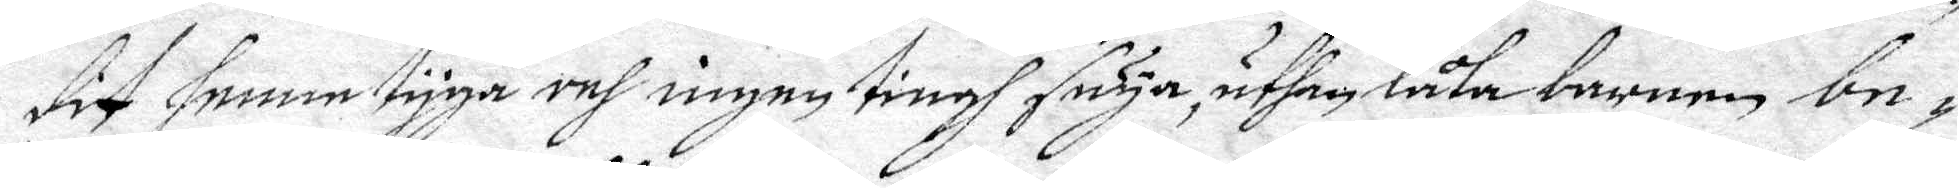dit henne tyga och ingen tingh säya, uthan låta barnen be¬
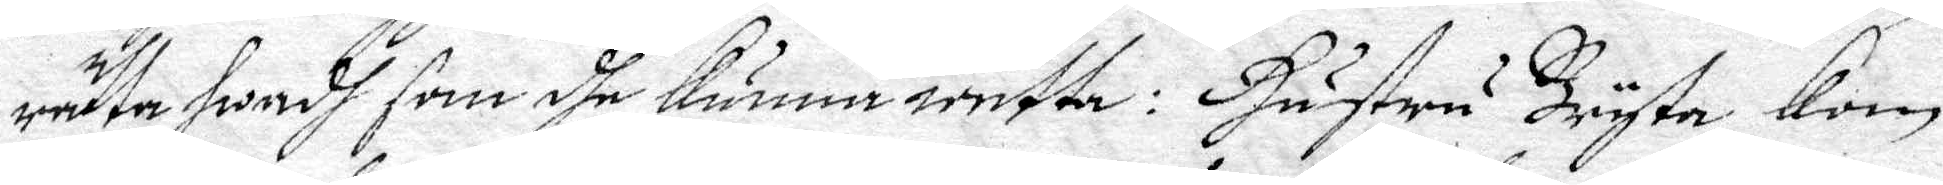rätta hwadh som dhe kunna weetta: Hustru Brysta kom
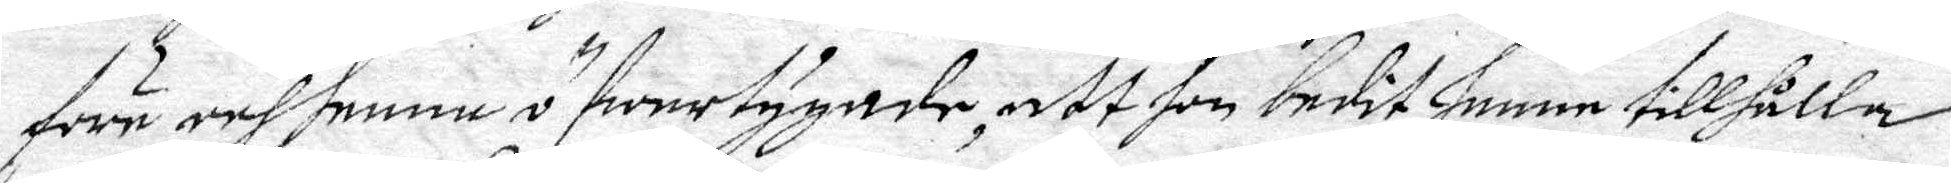före och henne öfwertygade att hon bedit henne tillhålla
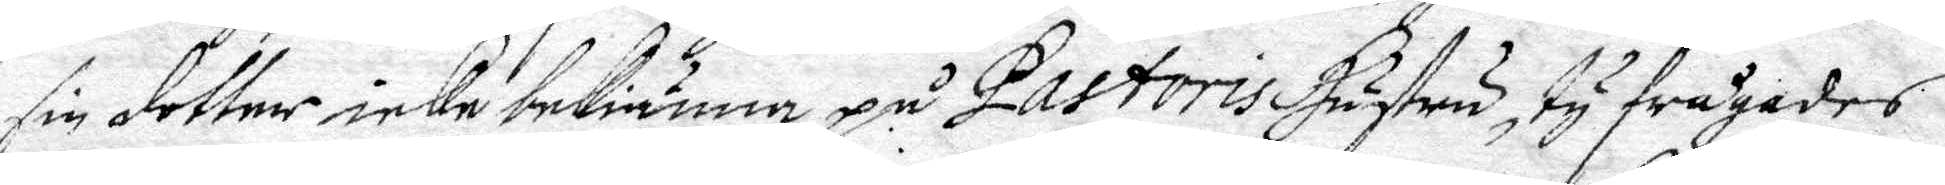sin dotter icke bekiänna på Pastoris Hustru, ty frågades
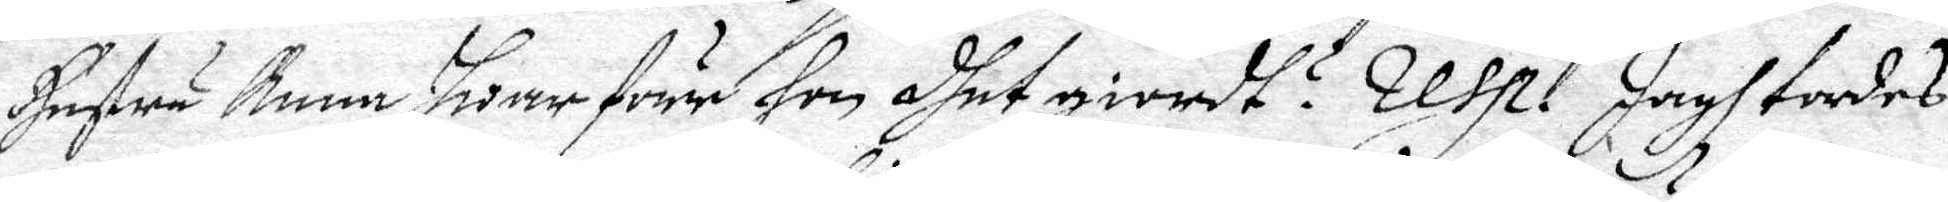hustru Anna Hwarföre hon dhet giordt? Resp. Jagh tordes
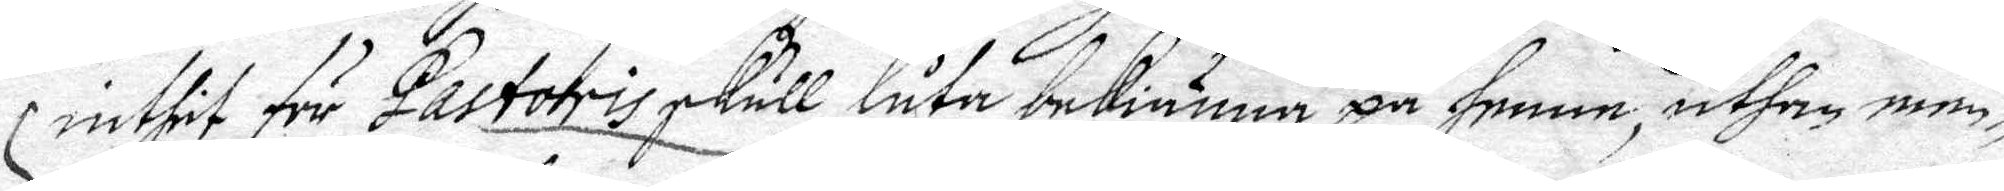inthit för Pastoris skull låta bekiänna på henne, uthan men¬
